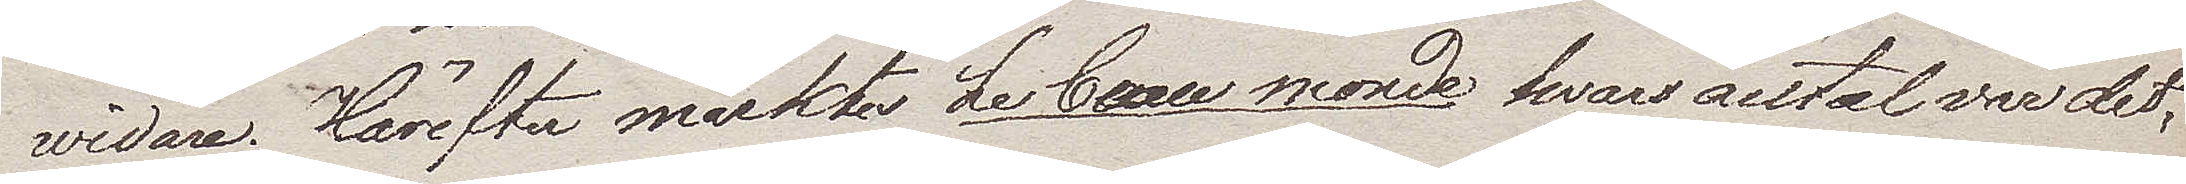widare. Härefter märktes Le beau monde hvars antal var det
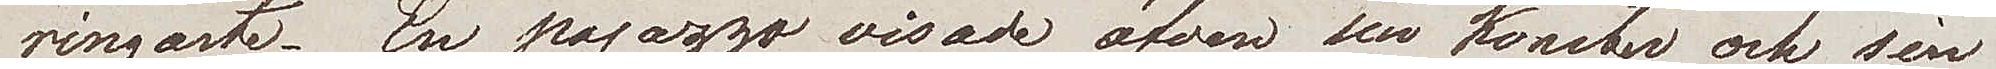ringaste. En pajazzo visade äfven sin konster och sin
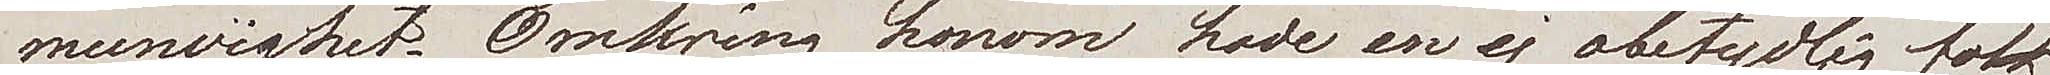munvighet. Omkring honom hade en ej obetydlig folk¬
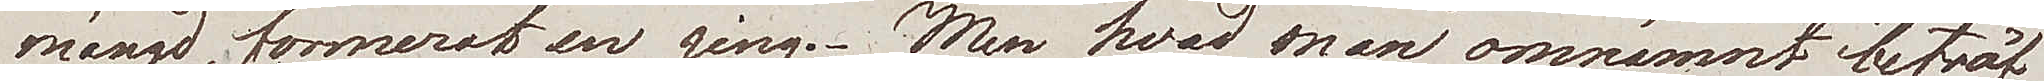mängd, formerat en ring. Men hvad man omnämnt beträf¬
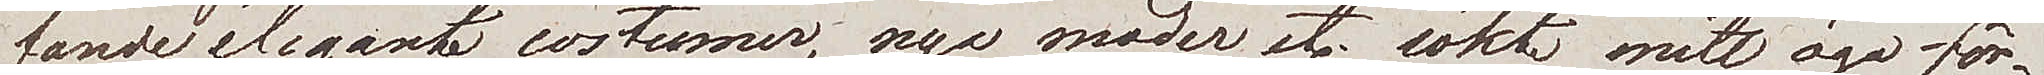fande éléganta costumer, nya moder etc. sökte mitt öga för¬
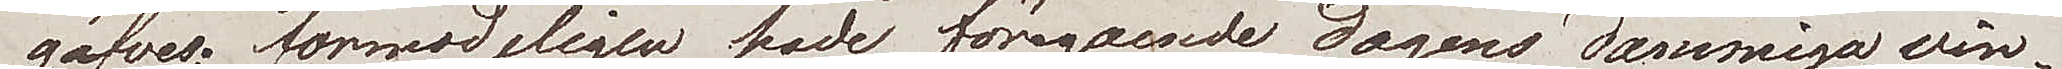gäfves; förmodligen hade föregående dagens dammiga win¬
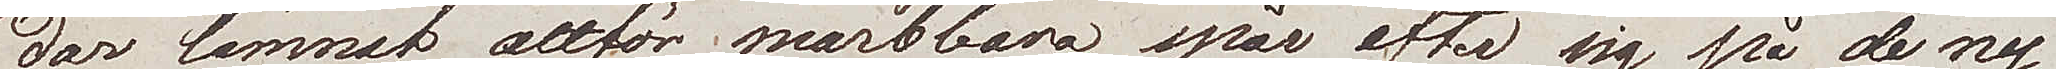dar lämnat alltför märkbara spår efter sig på de ny¬
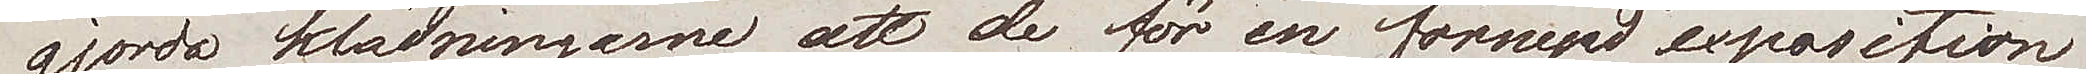gjorda klädningarne att de för en förnyad exposition
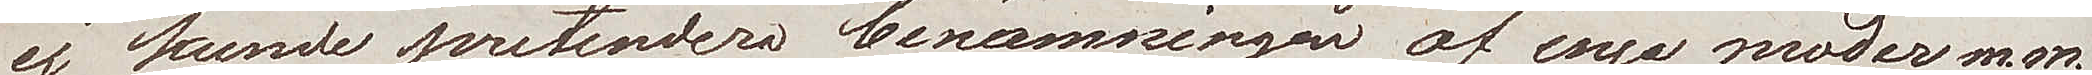ej kunde pretendera benämningen af nya moder m.m.
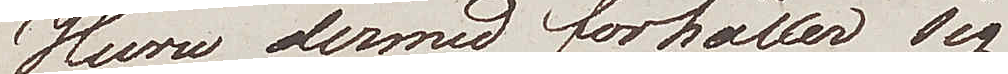Huru dermed förhåller sig,
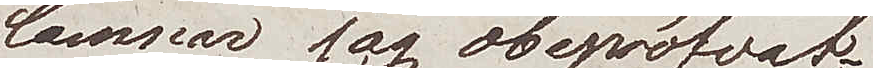lämnar jag obepröfvat;
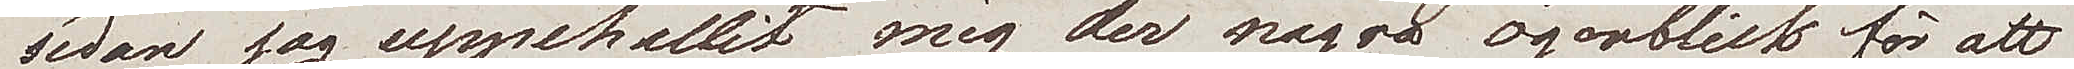sedan jag uppehållit mig der några ögonblick för att
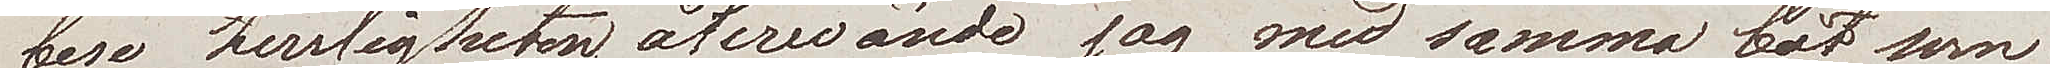bese herrligheten återvände jag med samma båt som
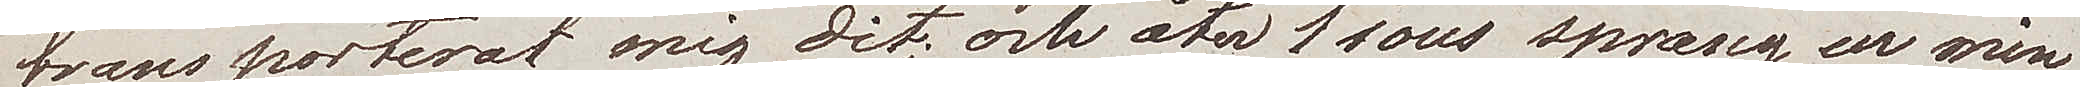transporterat mig dit; och åter 1 sous sprang ur min
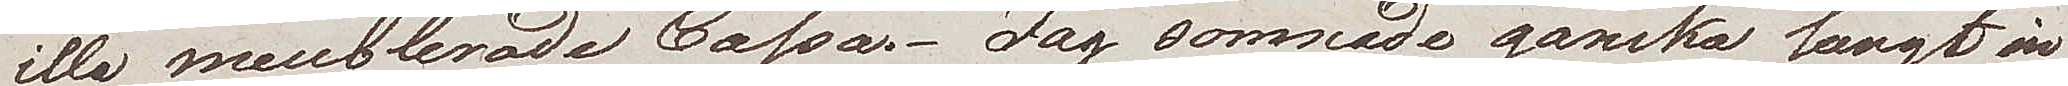illa meublerade cassa. Jag somnade ganska lungt in
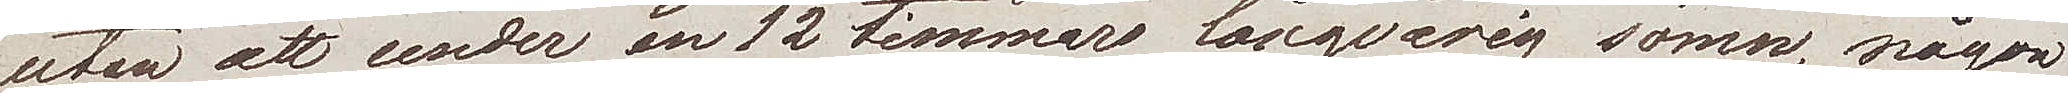utan att under en 12 timmars långvarig sömn, någon
